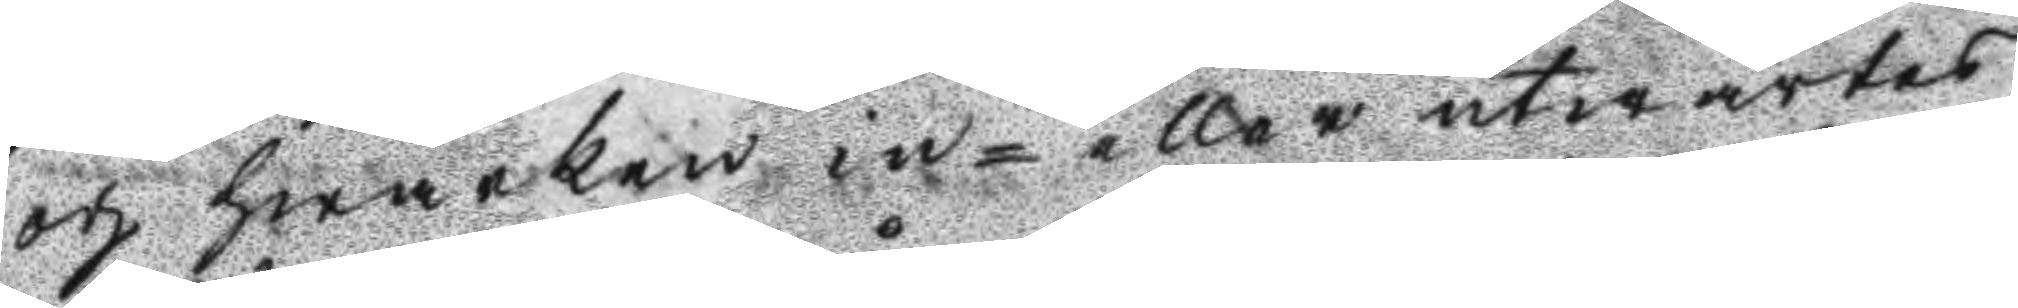och hwarken in- eller utwärtes
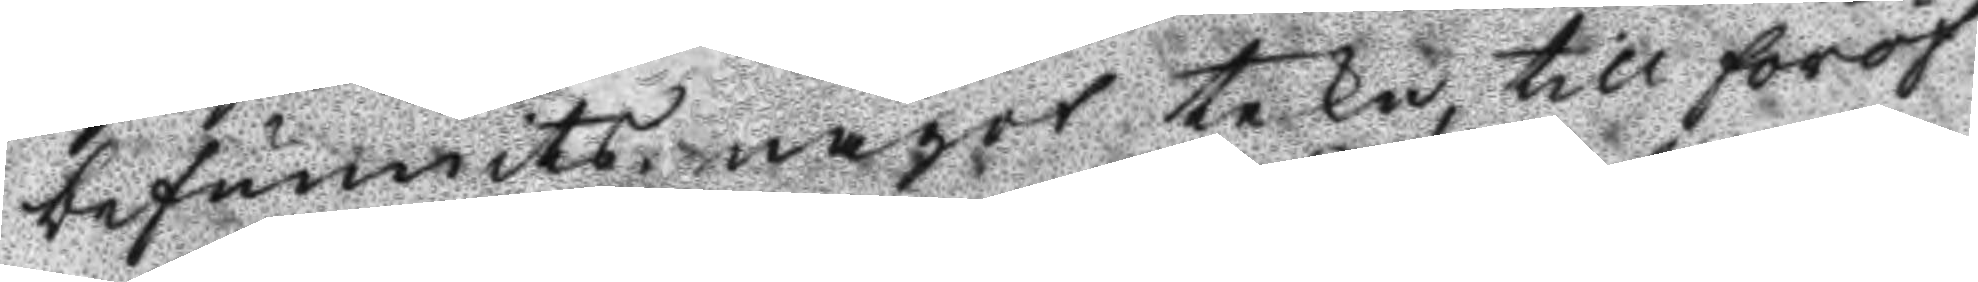befunnits något tekn, till föröf
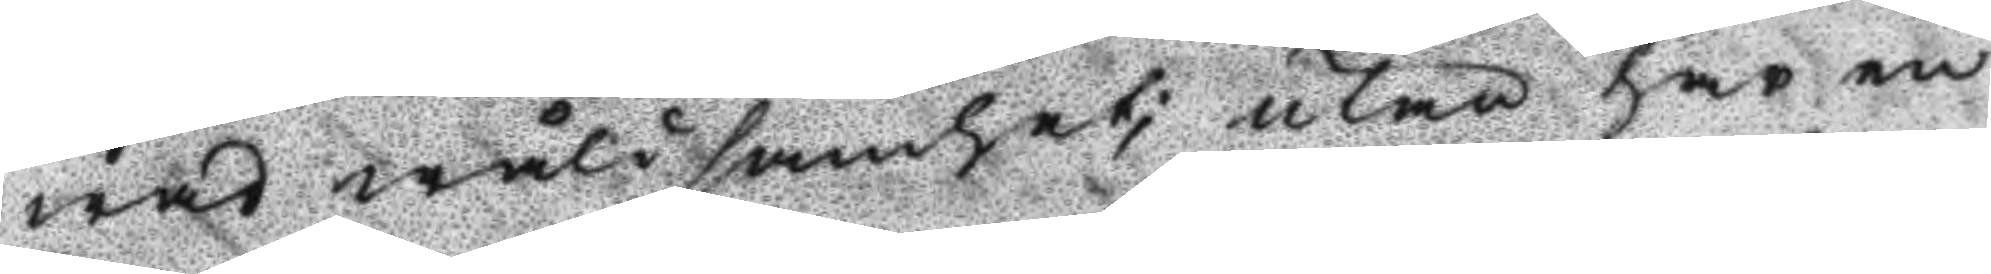wad wåldsamhet; utan har en
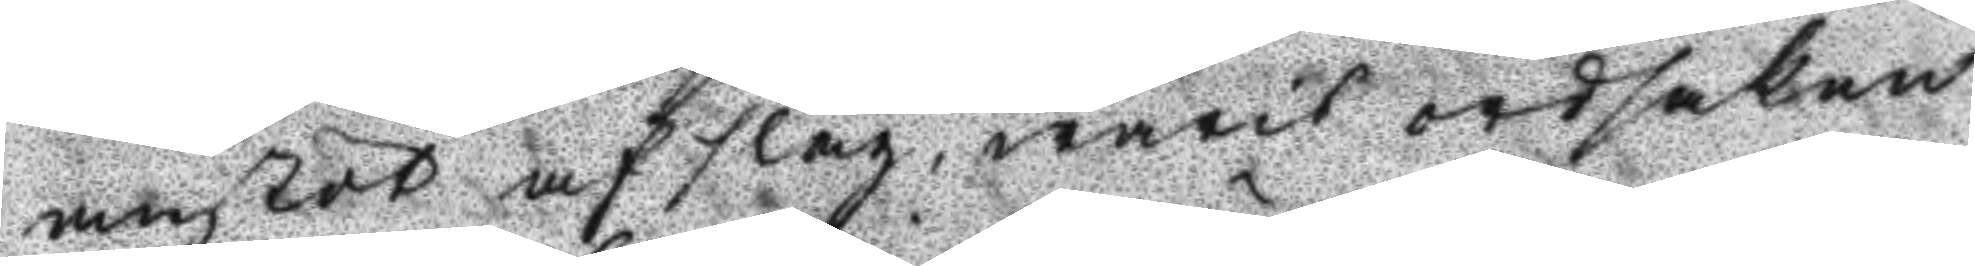anstöt af slag warit ordsaken
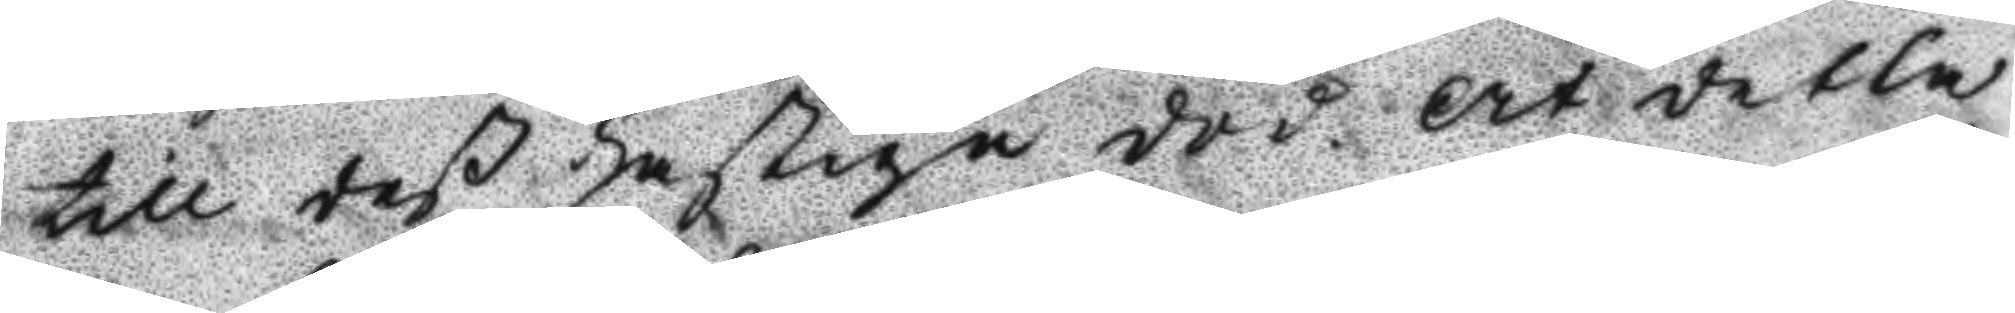till deß hastiga död. At detta
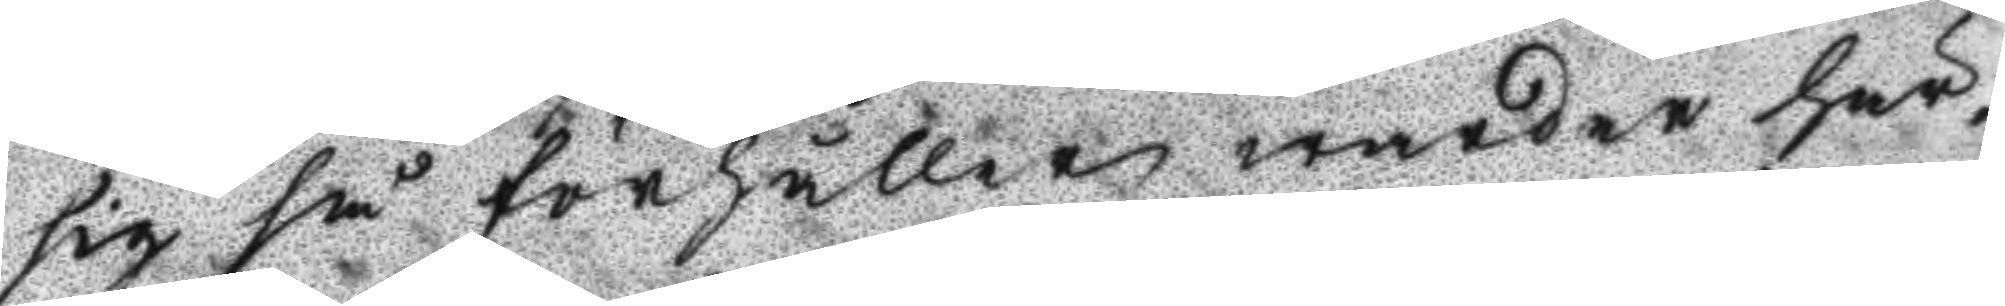sig så förhåller warder här
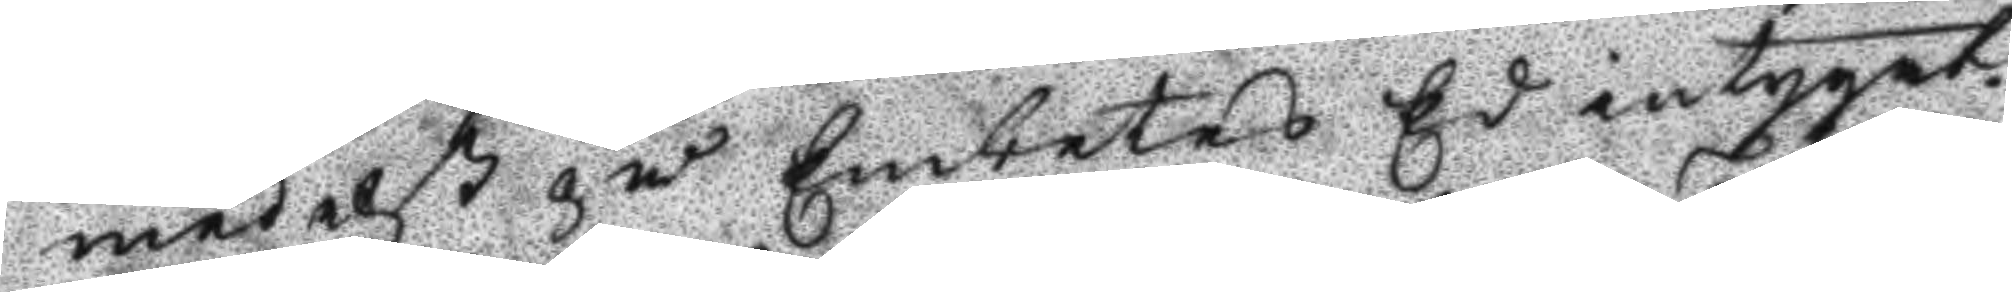medelst på Embetets Ed intygat.
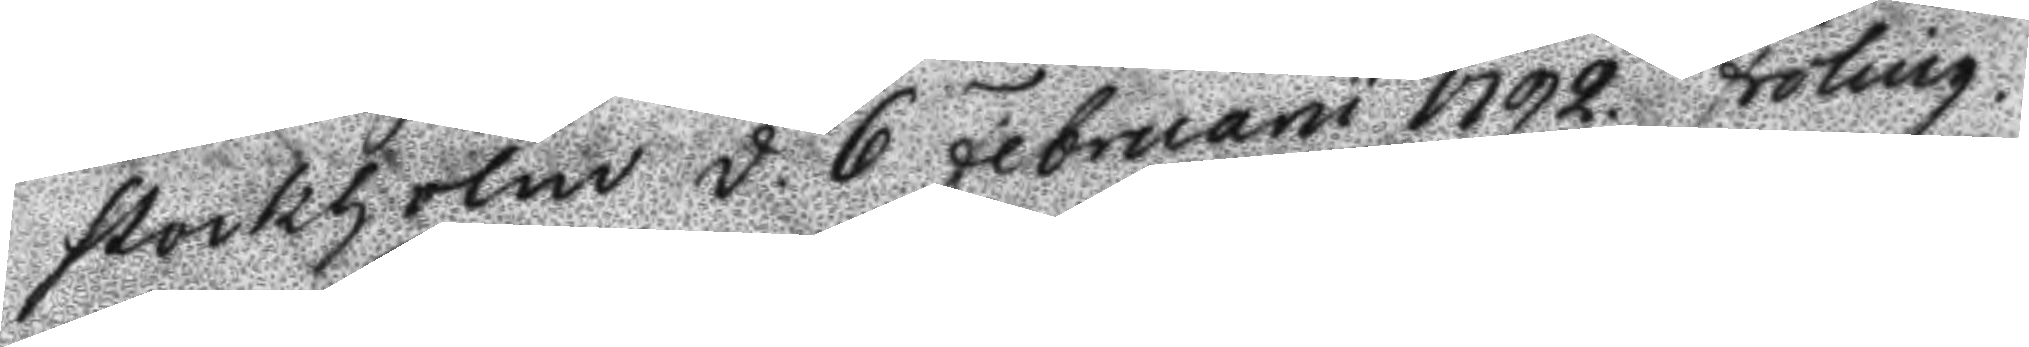Stockholm d. 6 Februarii 1792. Fröling.
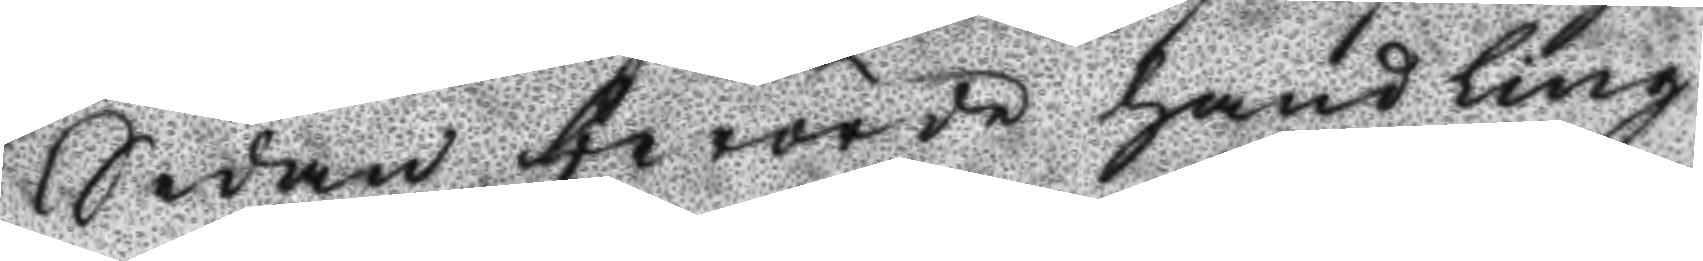Sedan berörde handling
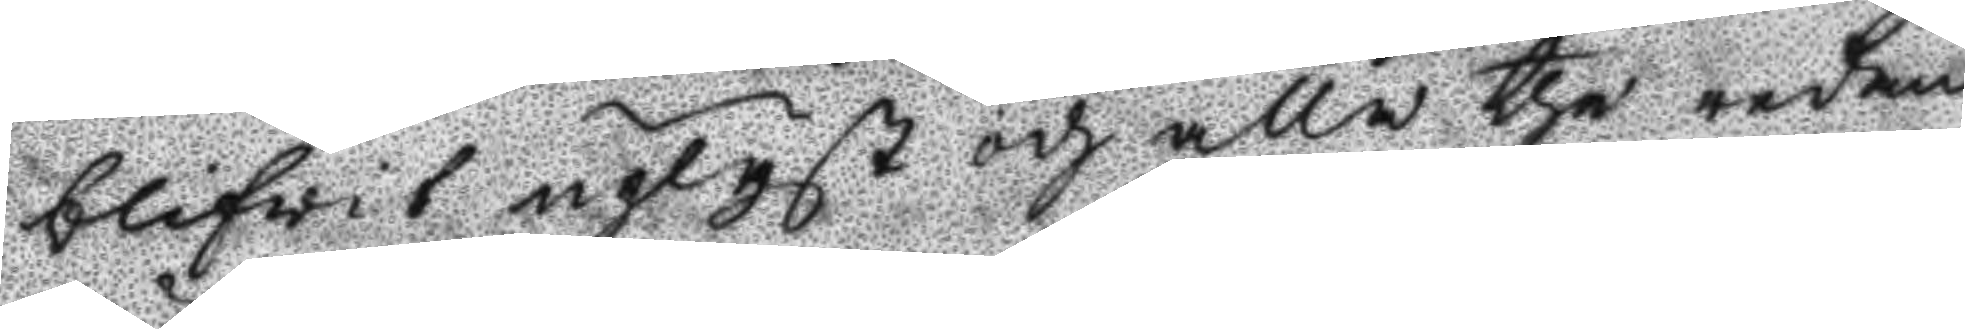blifwit upläst och alla the redan
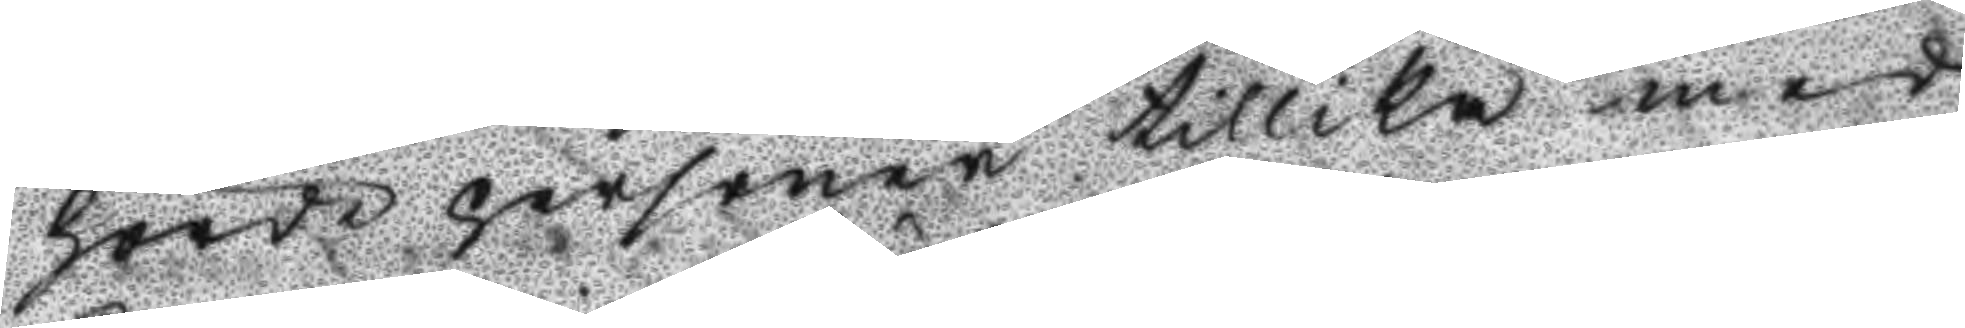hörde personerne tillika med
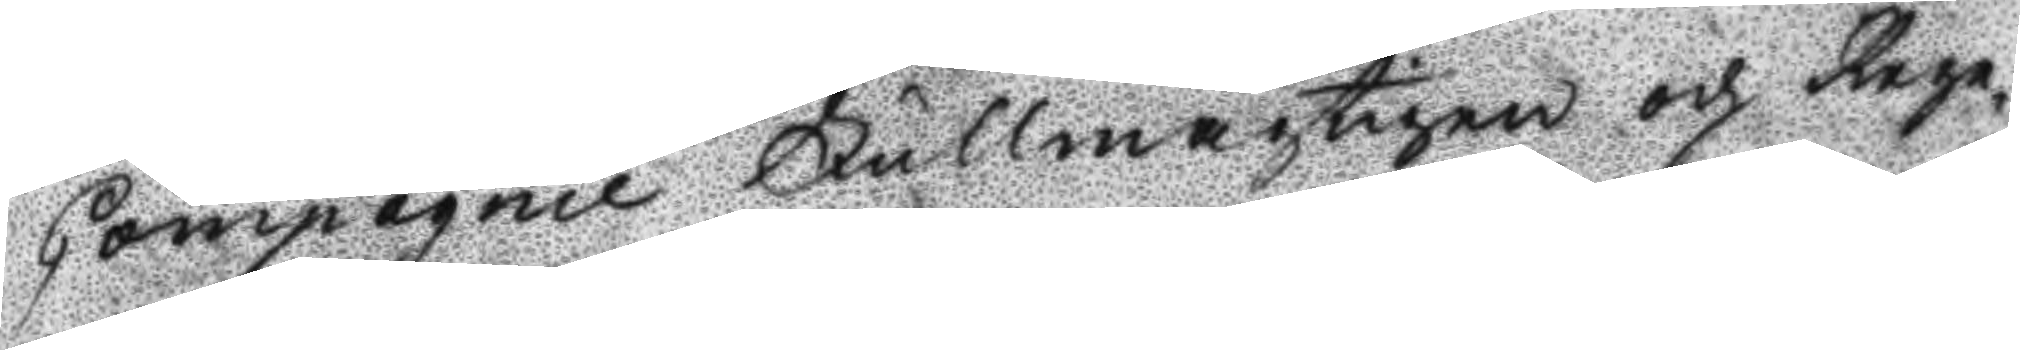Compagnie Fullmägtigen och Rege¬
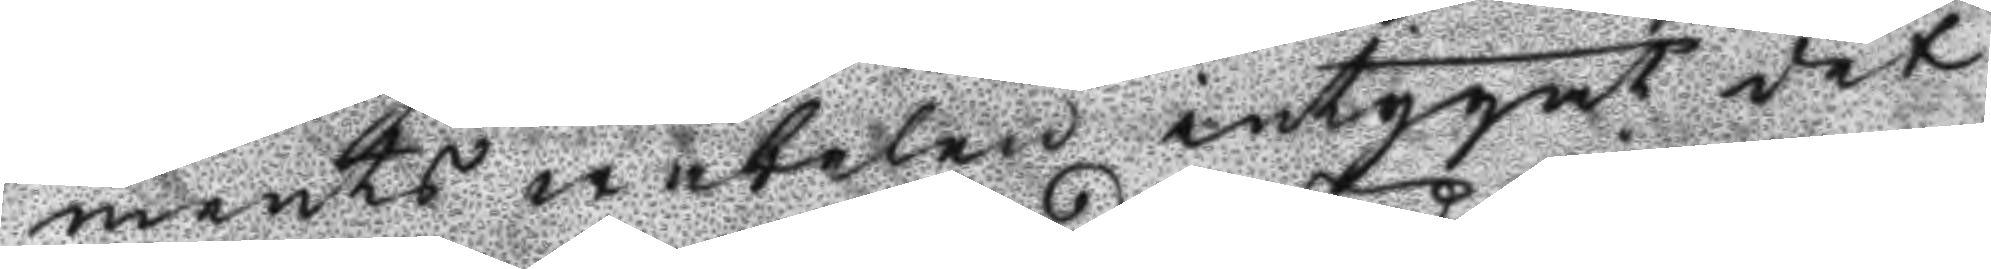ments wäbelen intygat det
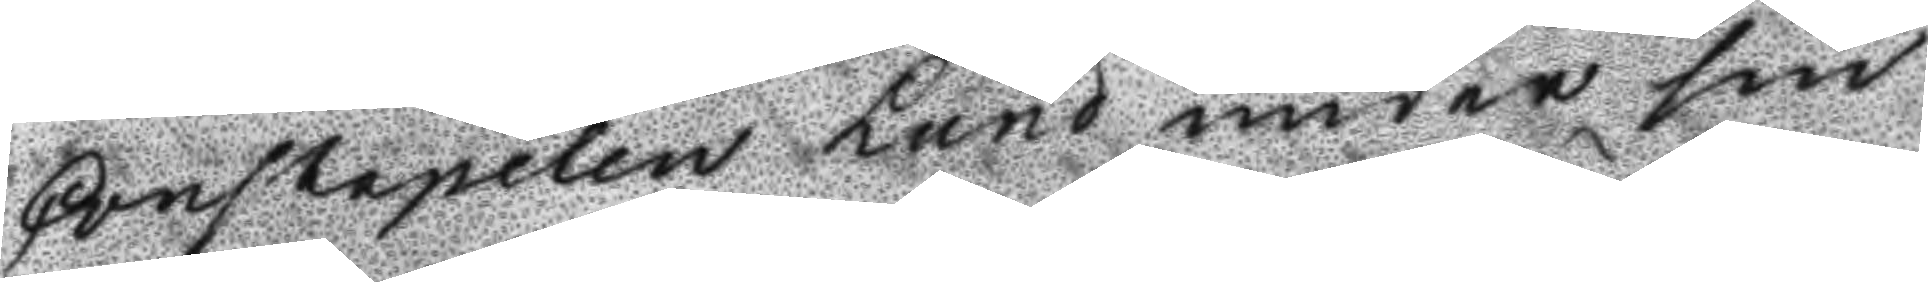Constapelen Lund under sin
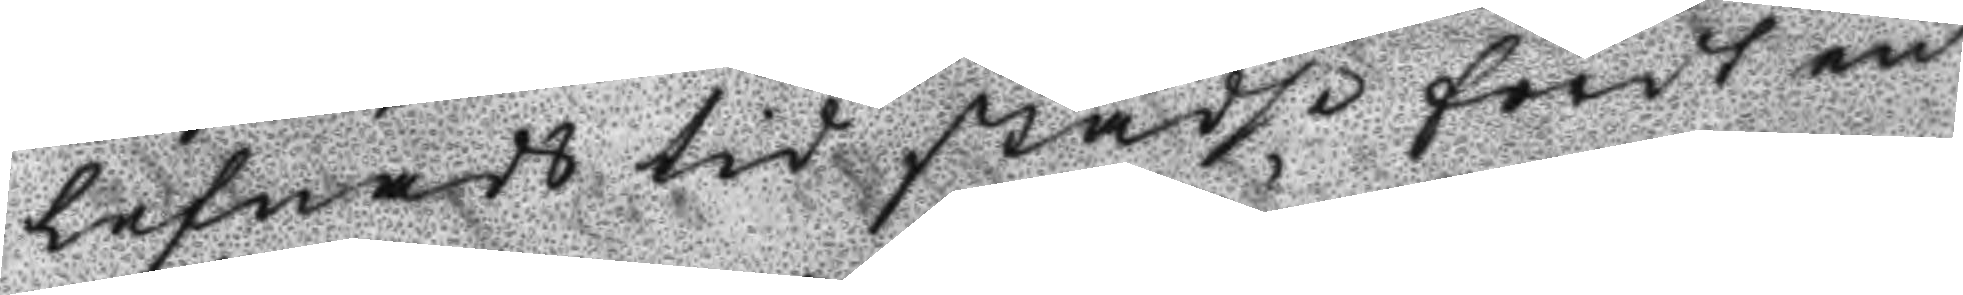lefnads tid städse fördt en
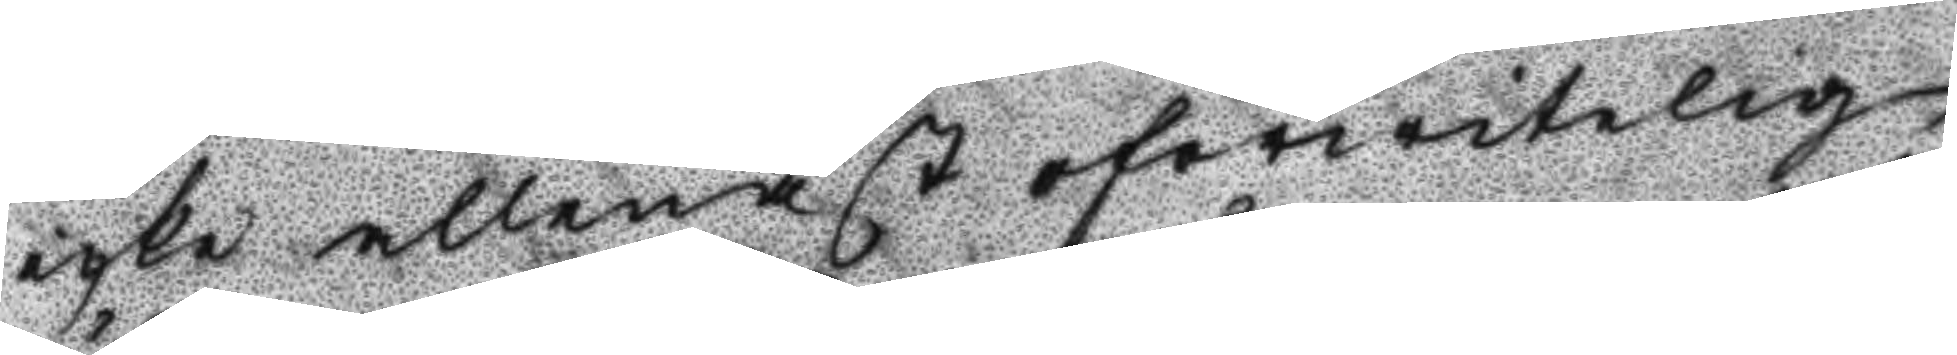icke allenast öförwitelig
